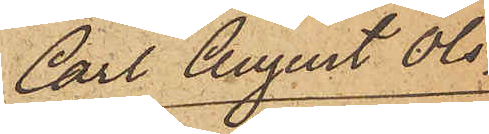Carl August Ols¬
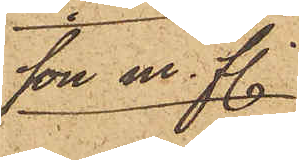son m. fl.
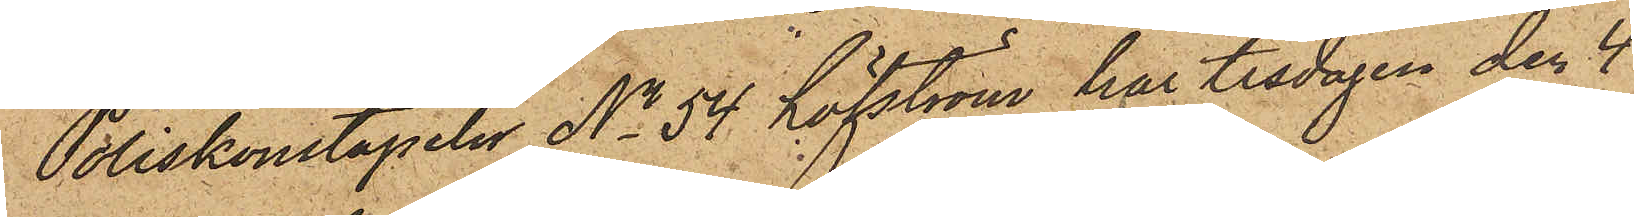Poliskonstapeln No 54 Löfström har tisdagen den 4
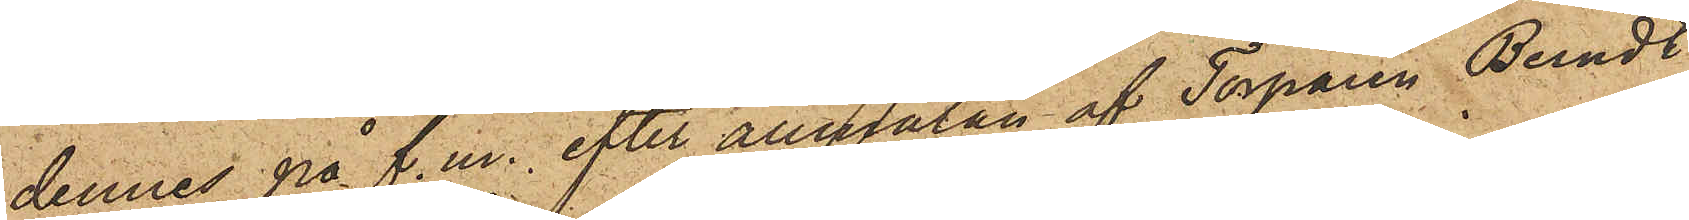dennes på f.m., efter anmälan af Torparen Berndt
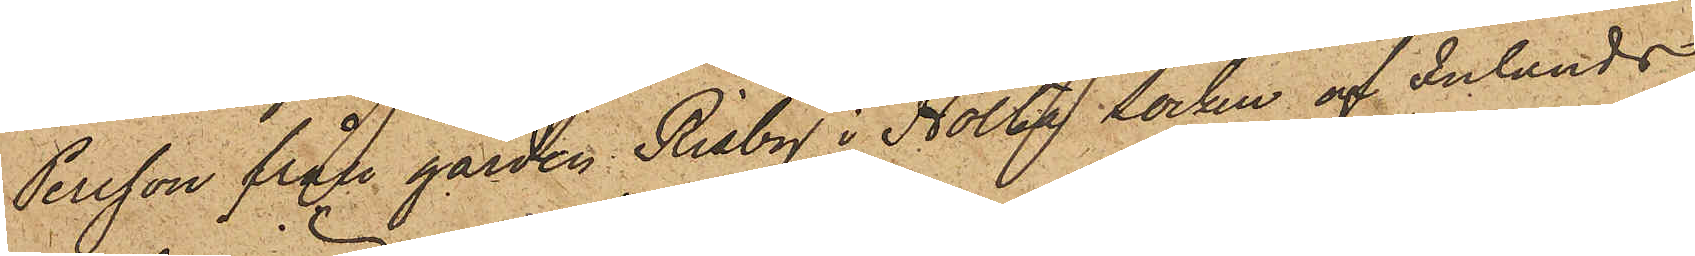Persson från gården Risby i Holta socken af Inlands
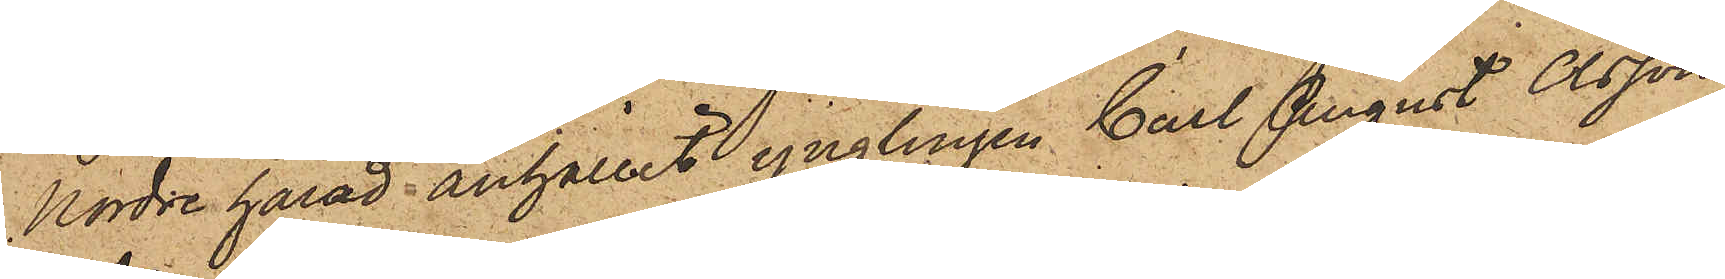Nordre härad anhållit ynglingen Carl August Olsson,
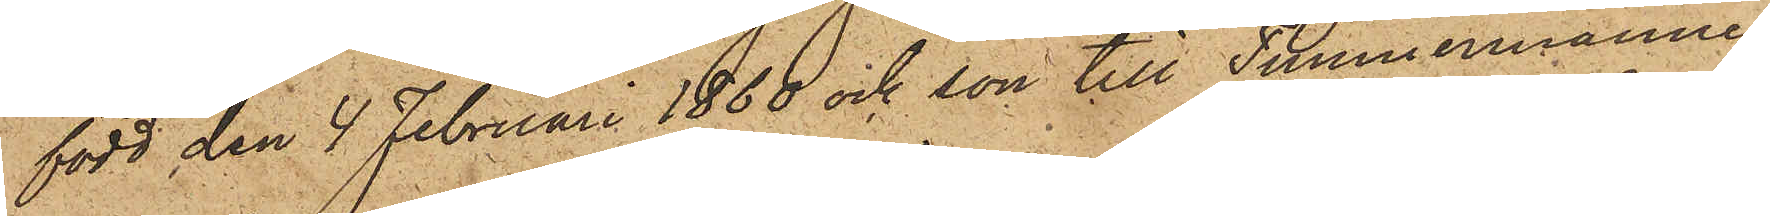född den 4 Februari 1860 och son till Timmermannen
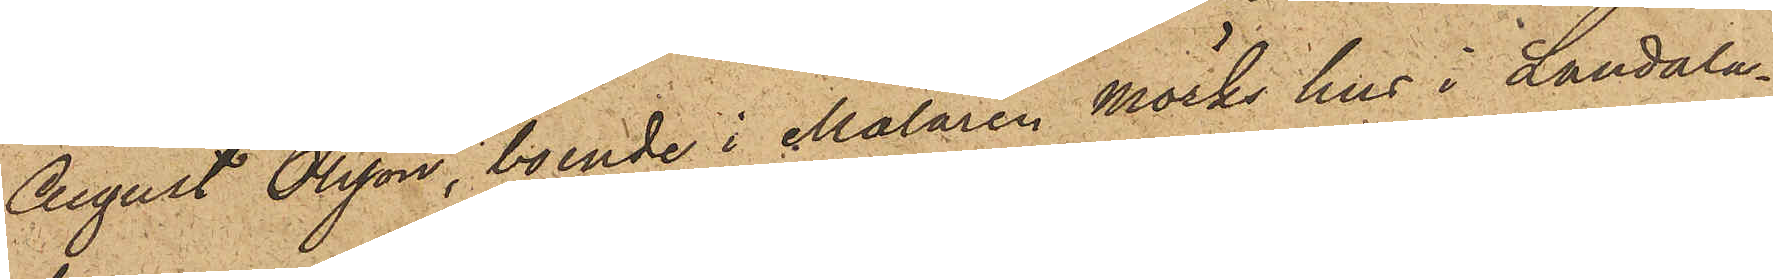August Olsson, boende i Målaren Mörks hus i Landala¬
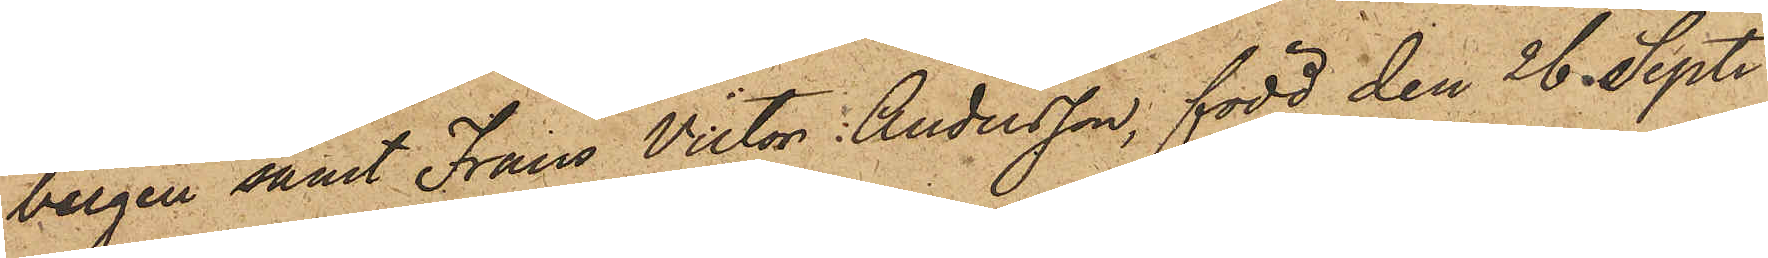bergen samt Frans Victor Andersson, född den 26 Sept.
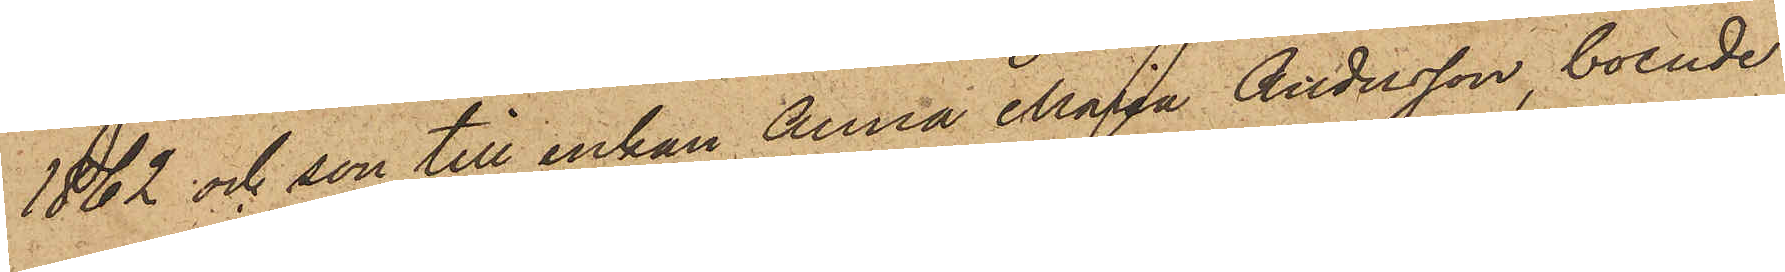1862 och son till enkan Anna Maria Andersson, boende
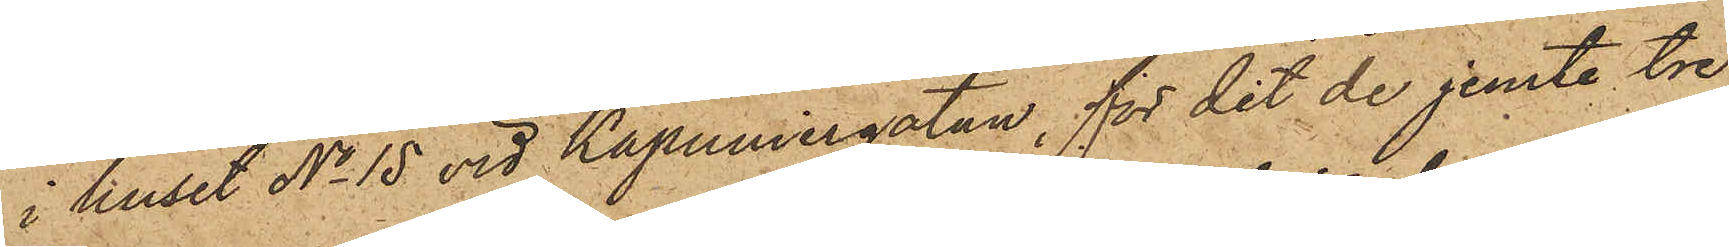i huset No 15 vid Kapuniergatan, för det de jemte tre
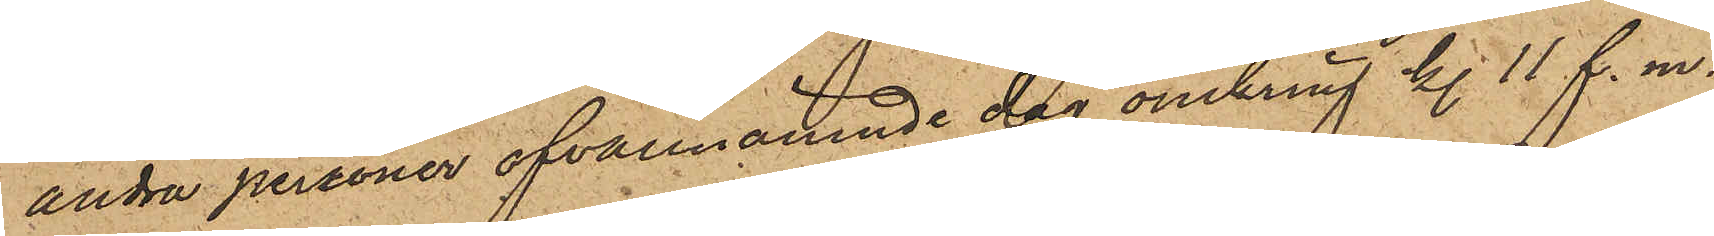andra personer ofvannämnde dag omkring kl. 11 f. m.
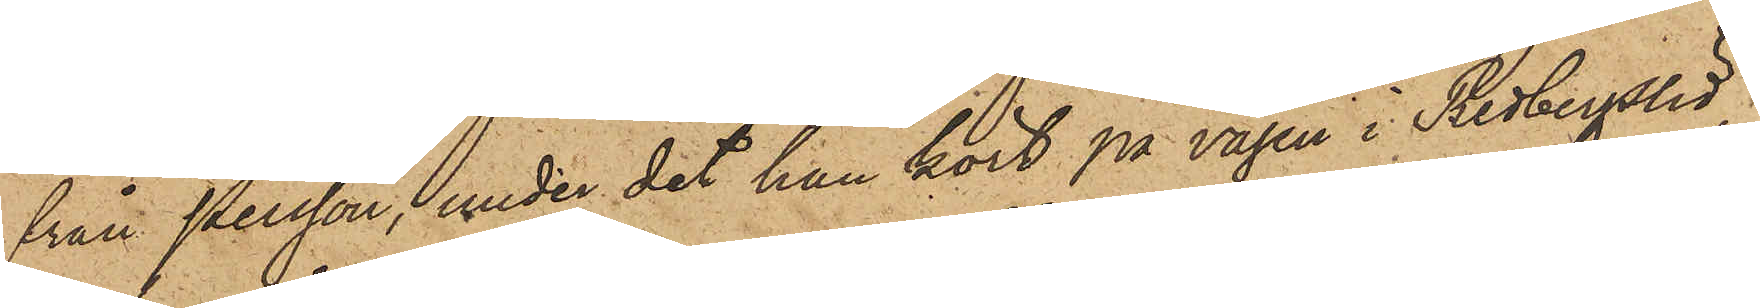från Persson, under det han kört på vägen i Redbergslid,
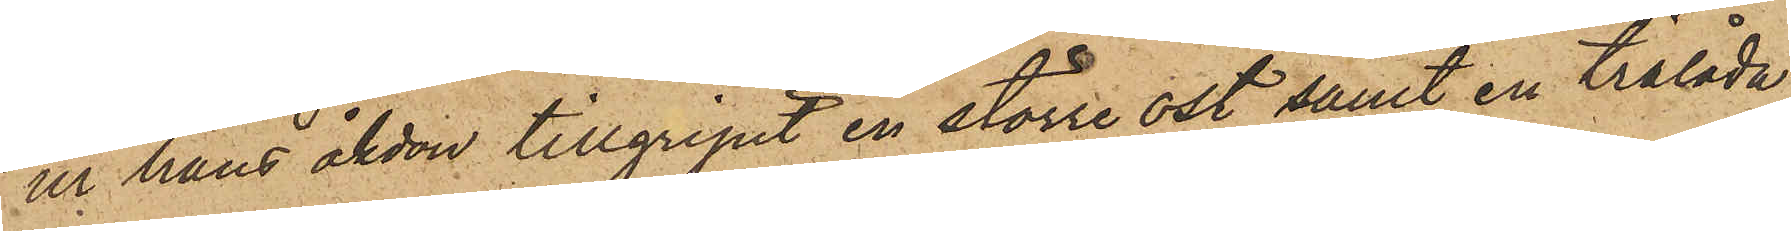ur hans åkdon tillgripit en större ost, samt en trälåda
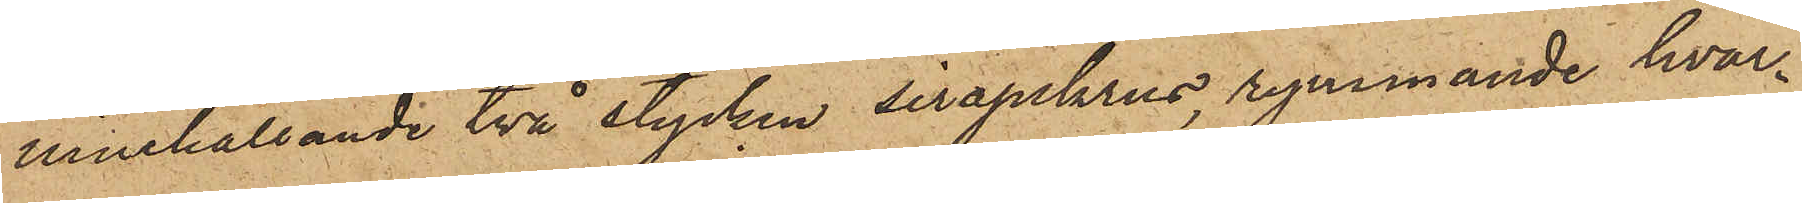innehållande två stycken sirapskrus, rymmande hvar¬
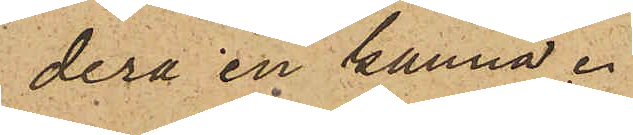dera en kanna.
